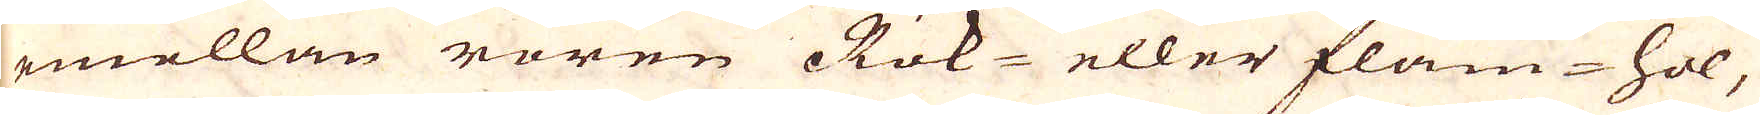emellan rören Rök- eller Flam-hol,
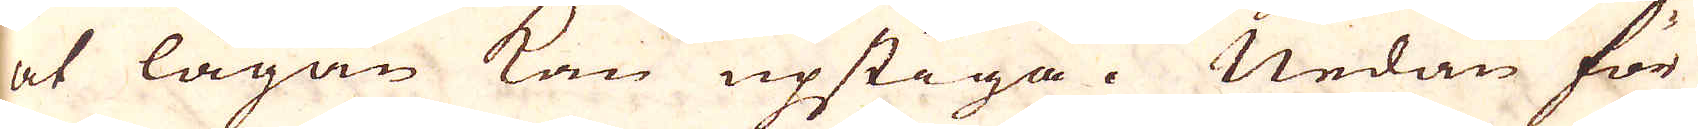at lågan kan upstiga. Nedan för
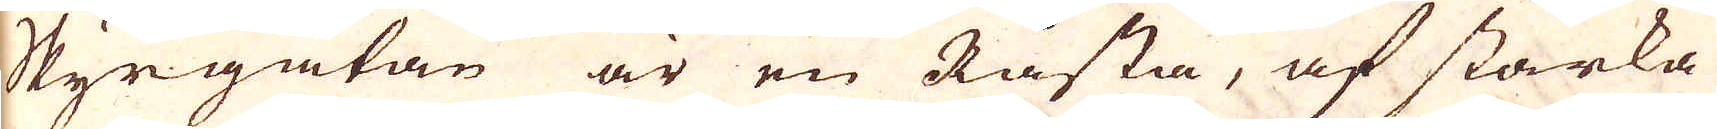Skyrgatan är en Råsta, af starka
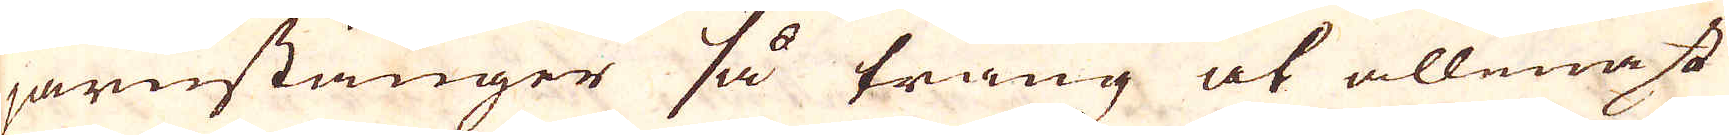järnstänger så trång at allenast
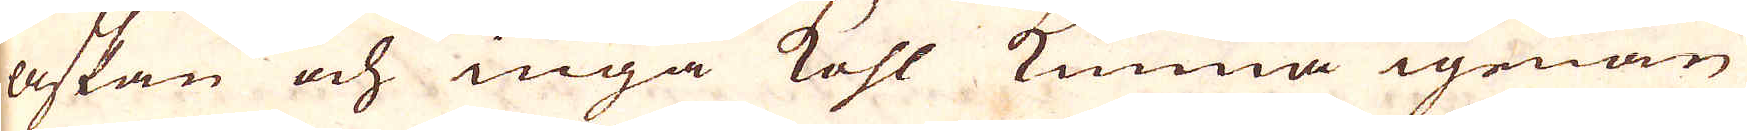askan och inga Kohl kunna igenom
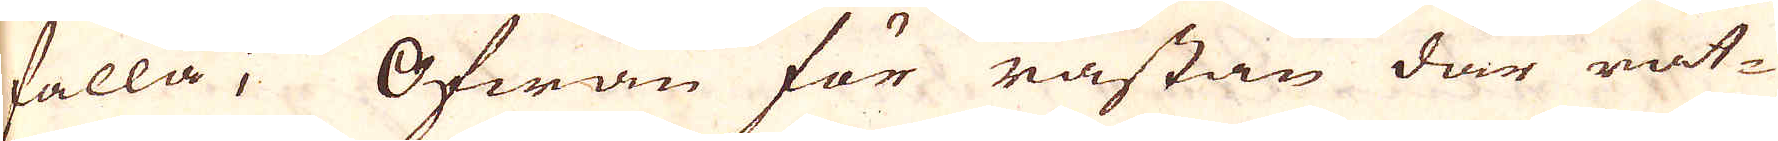falla; Ofwan för råstan där rät-
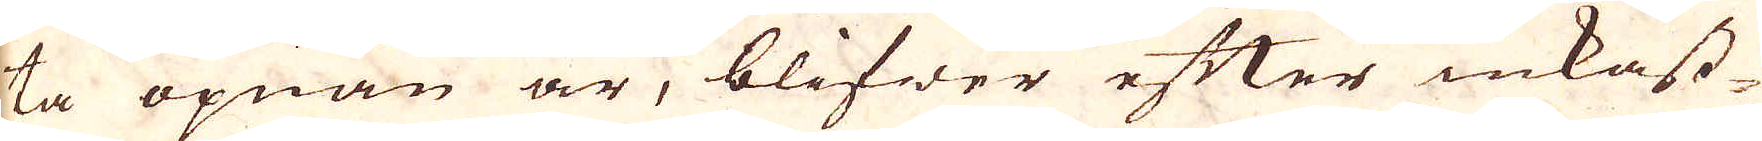ta öpnan är, blifwer efter inkast-
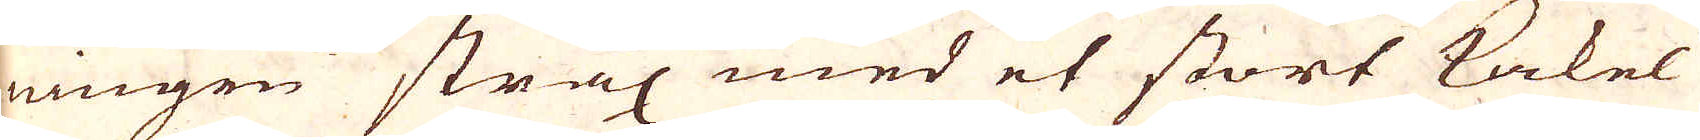ningen strax med et stort kakel
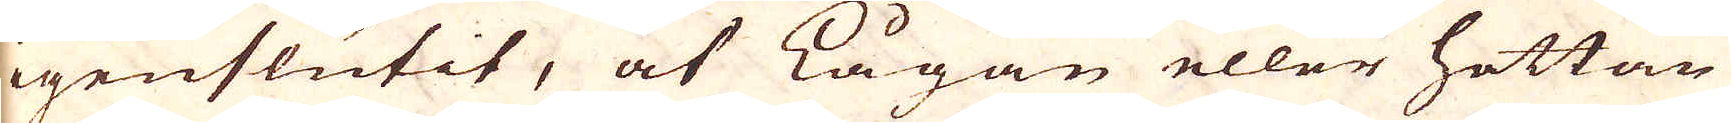igenslutit, at lågan eller hettan
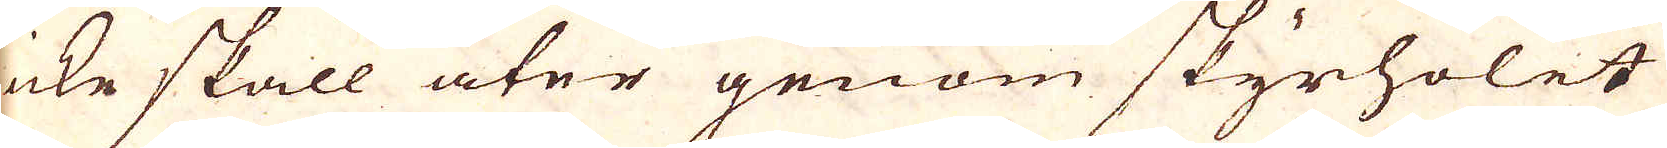icke skall åter genom skyrholet
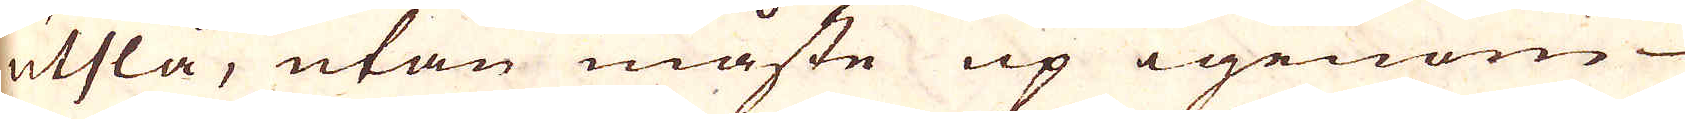utslå, utan måste up igenom
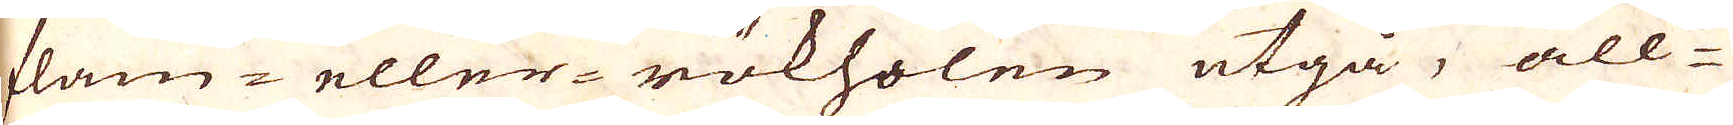flam- eller- rökholen utgå, all-
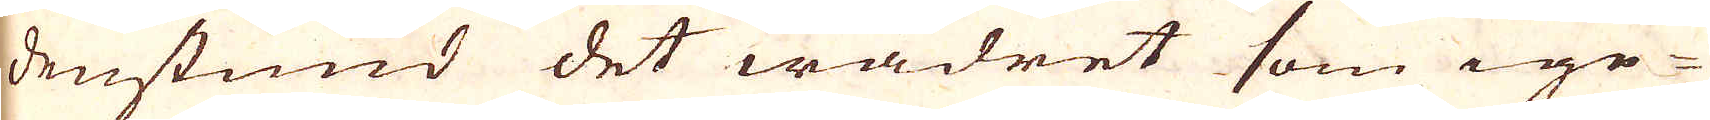denstund det wädret som ige-
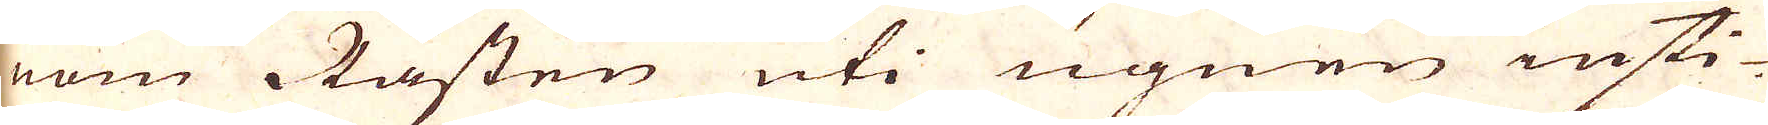nom Råsten uti ugnen insti-
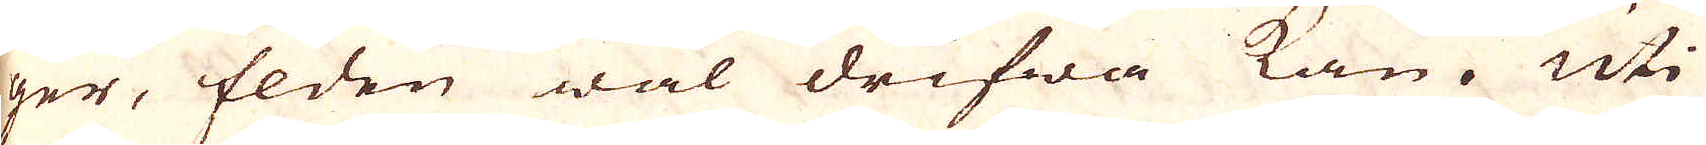ger, Elden wäl drifwa kan. Uti
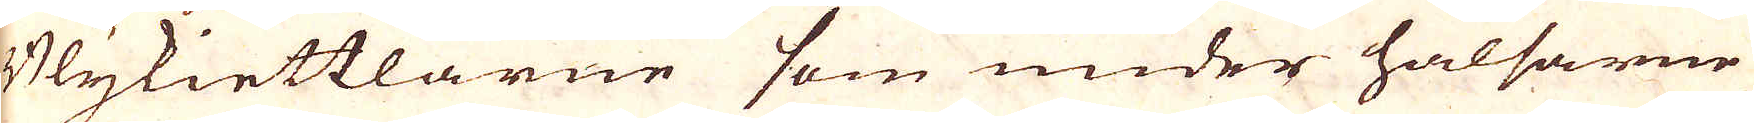Blykiettlarne som under halsarne
